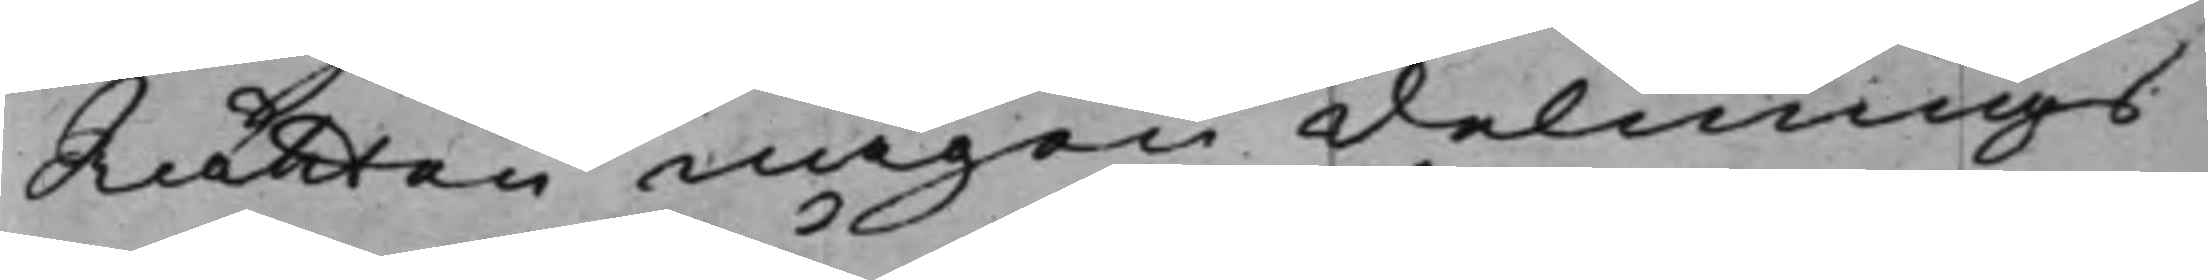Rätten någon delnings¬
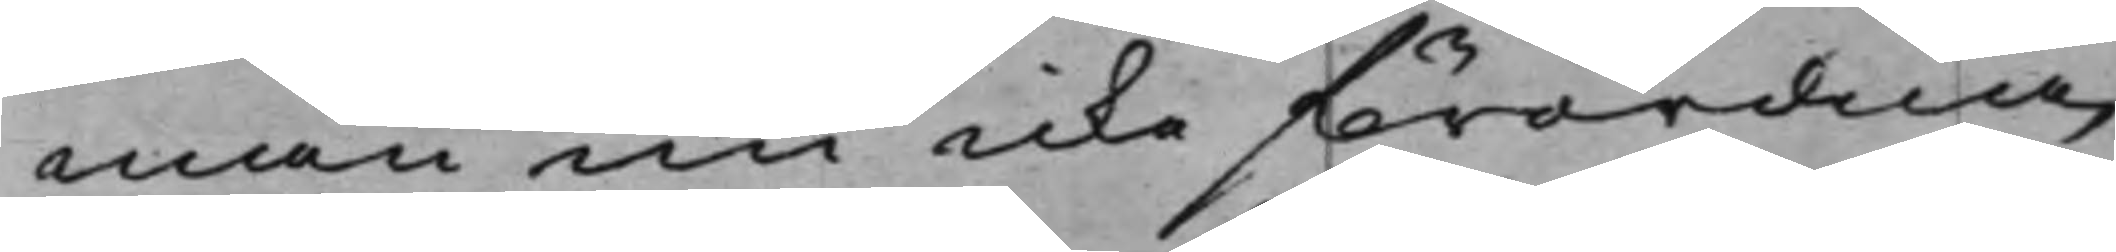man nu icke förordna,
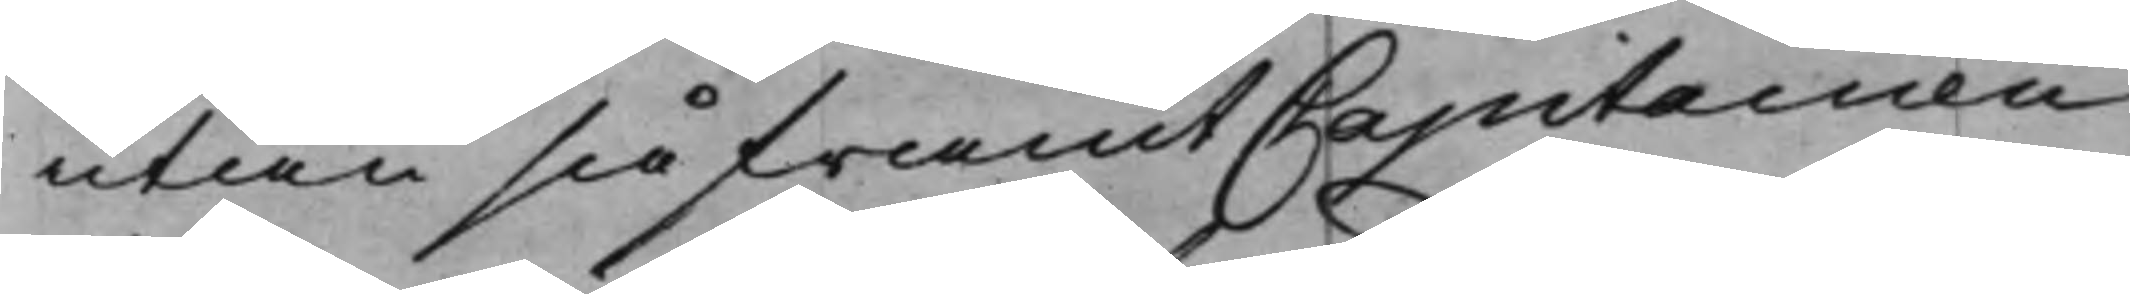utan så framt Capitainen
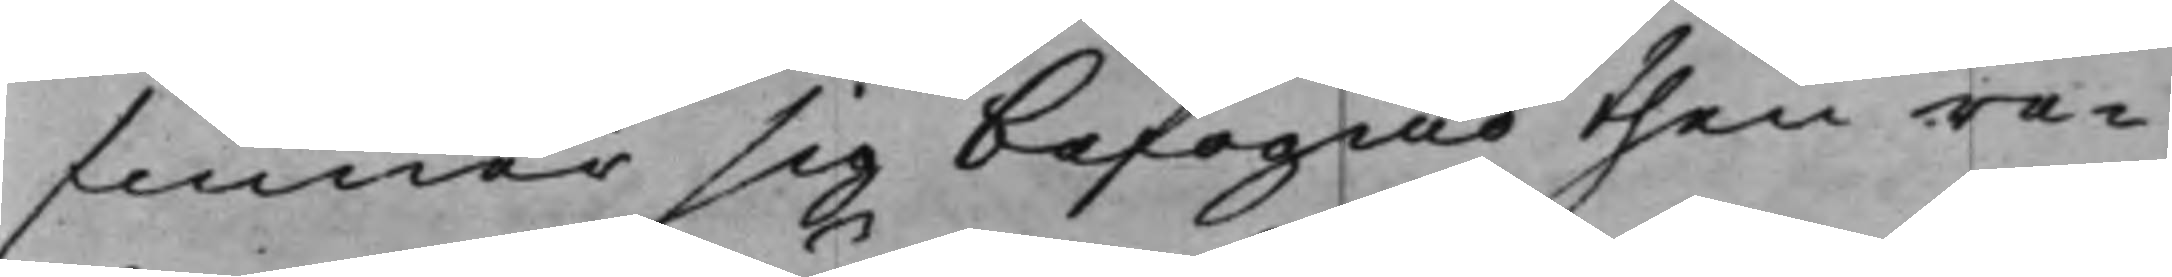finner sig befogad then re¬
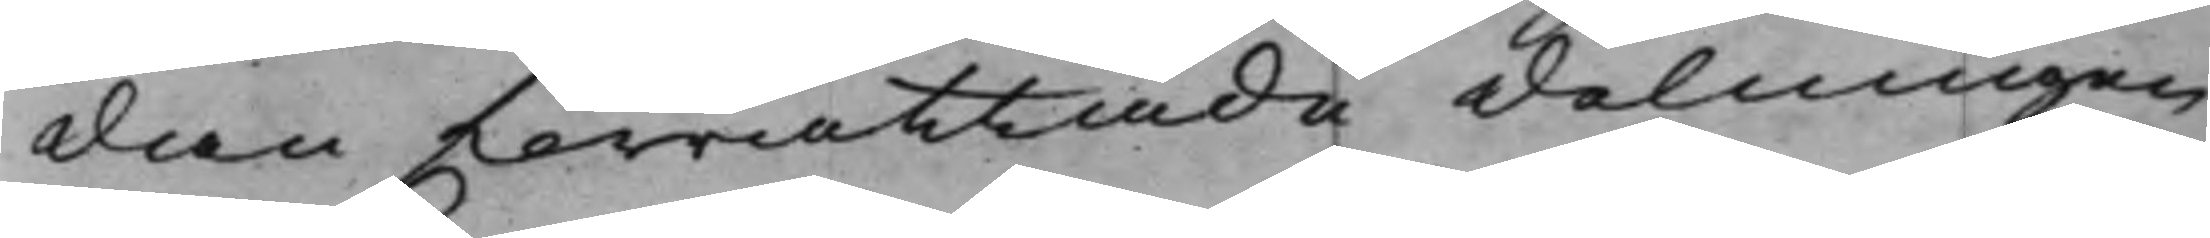dan förrättade delningen
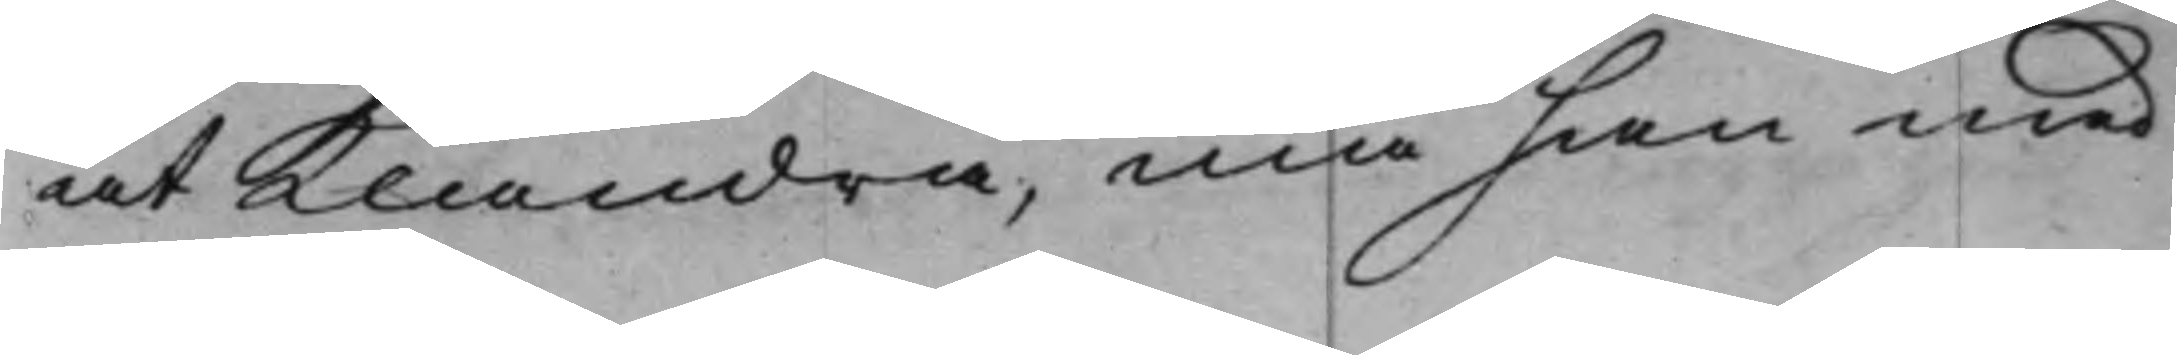at Klandra, må han med
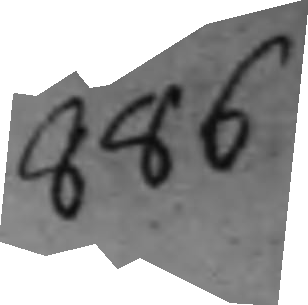886
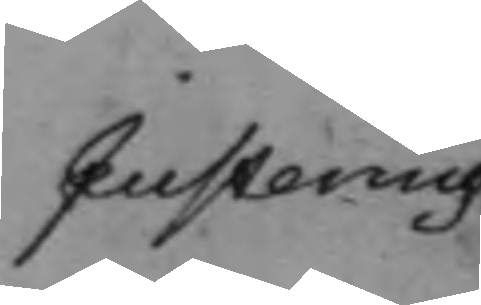Justering
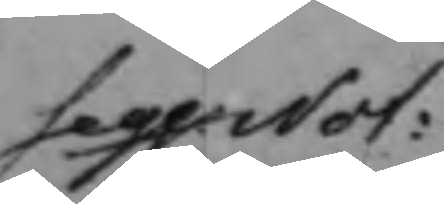seqq Not:
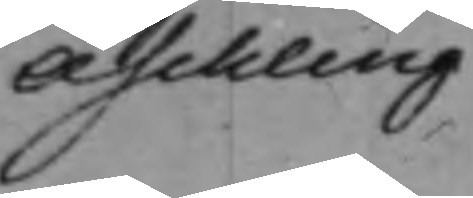Aschling
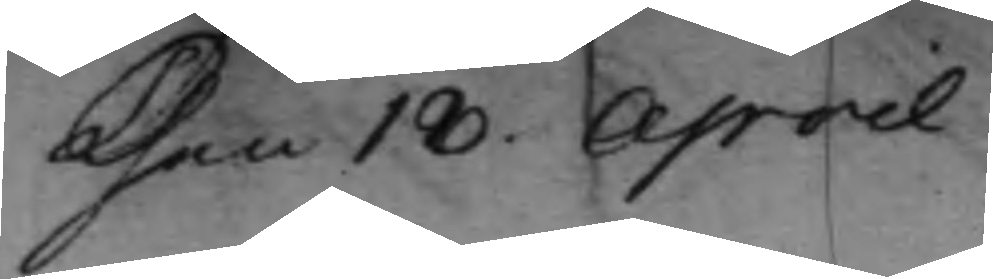Then 18. April
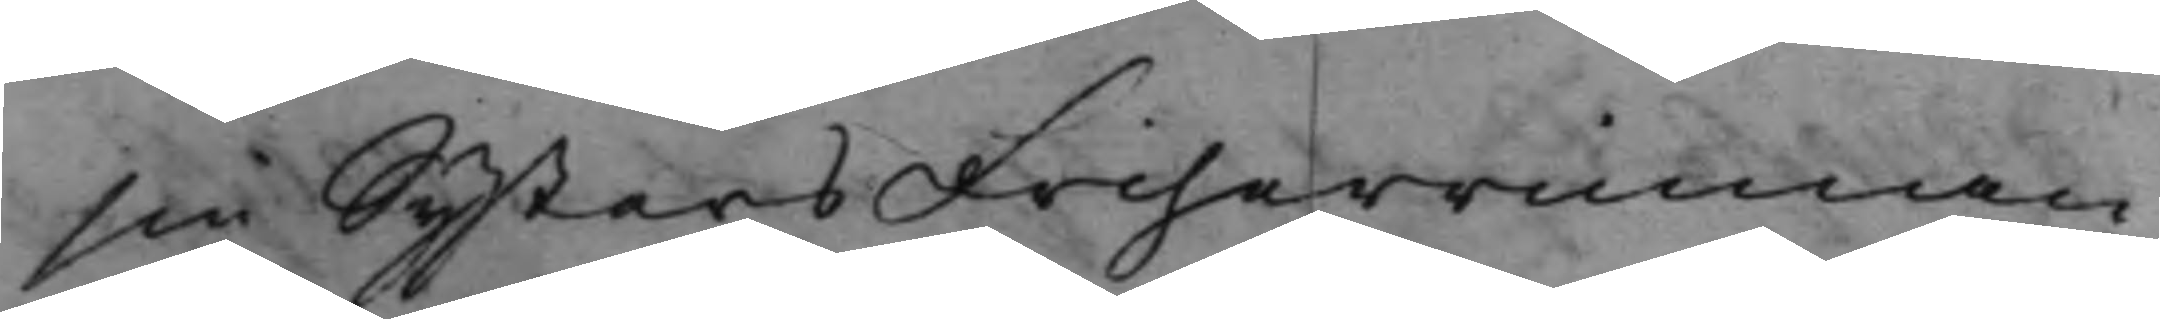sin Systers Friherrinnan
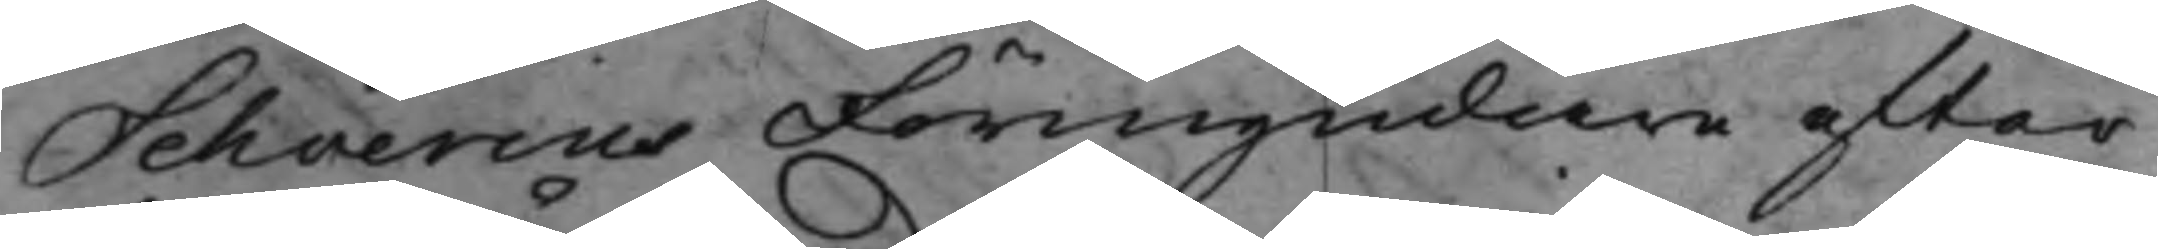Schverins Förmyndare efter
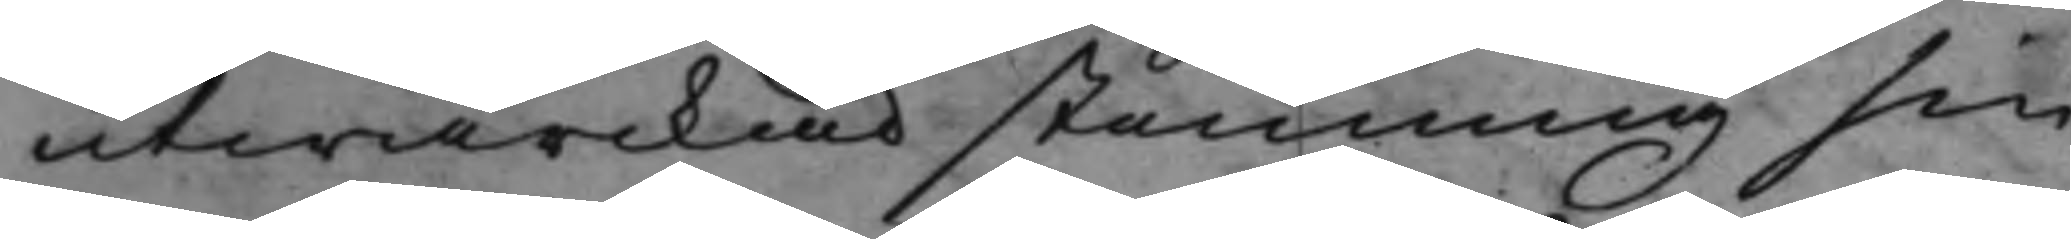utwärckad stemning sin
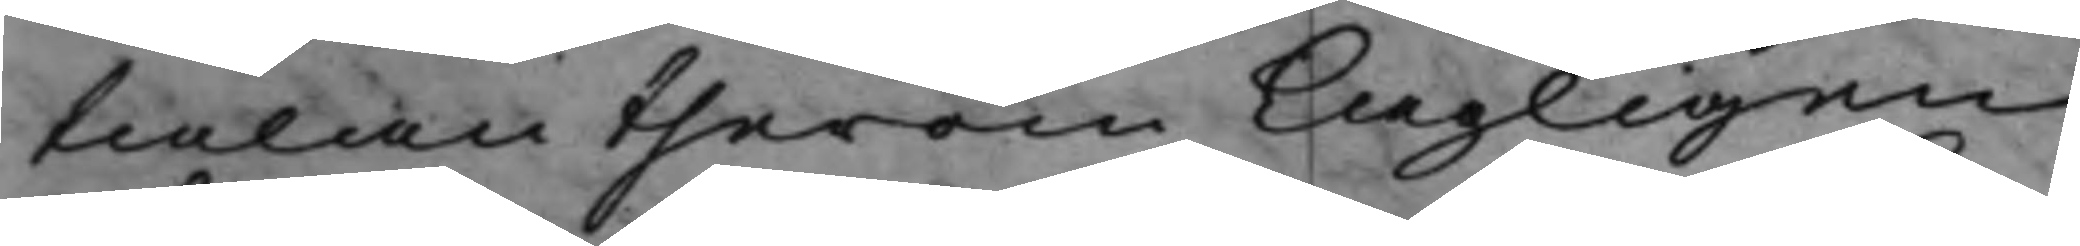talan therom Lagligen
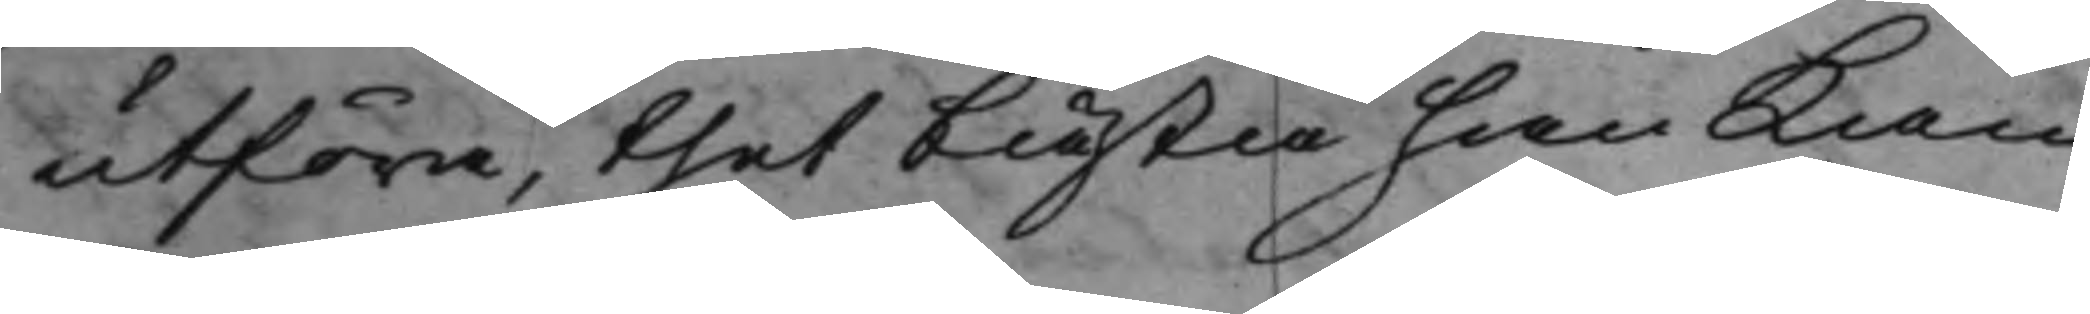utföra, thet bästa han Kan
